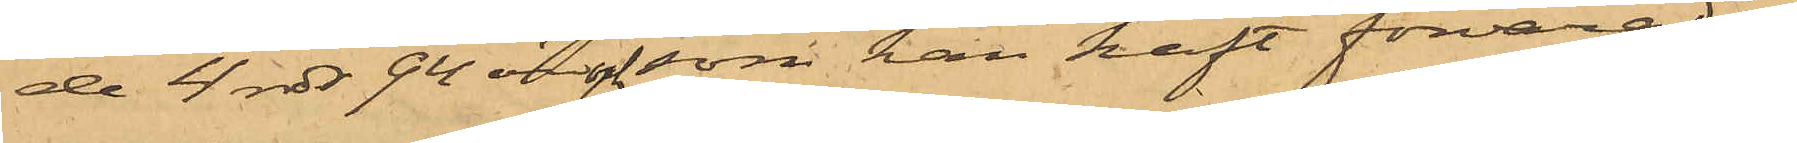de 4 rdr 94 öre och som han haft förvarad i
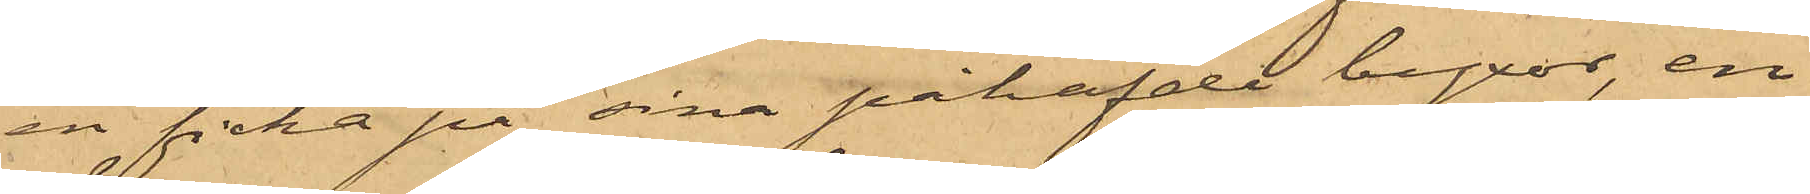en ficka på sina påhafvde byxor, en
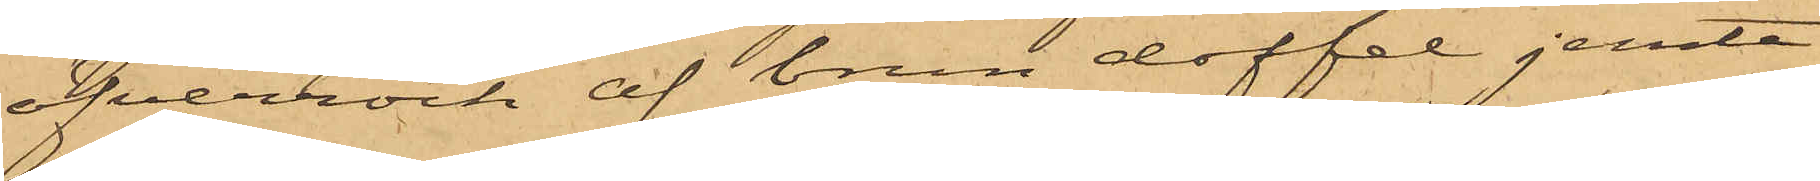öfverrock af brun doffel jemte
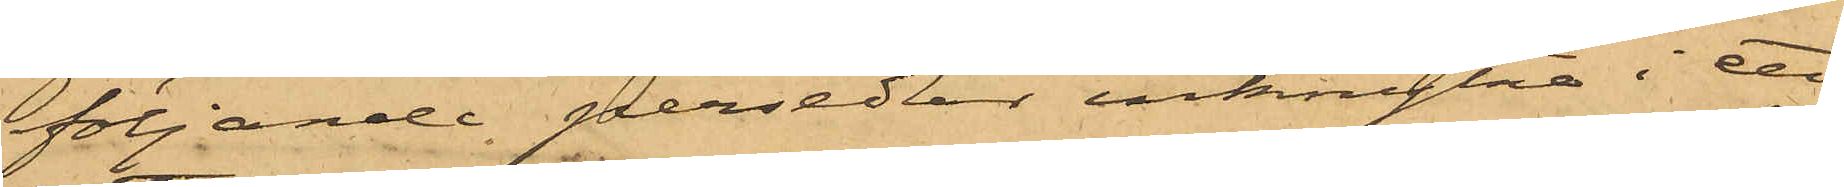följande persedlar inknytna i ett
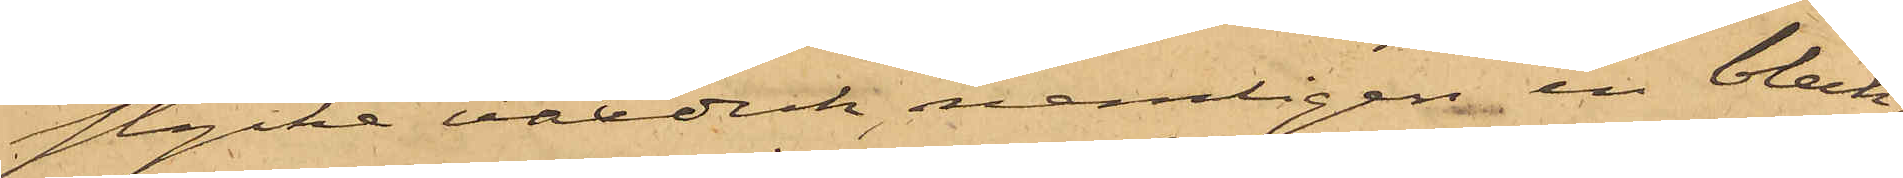stycke vaxduk, nemligen en bleck¬
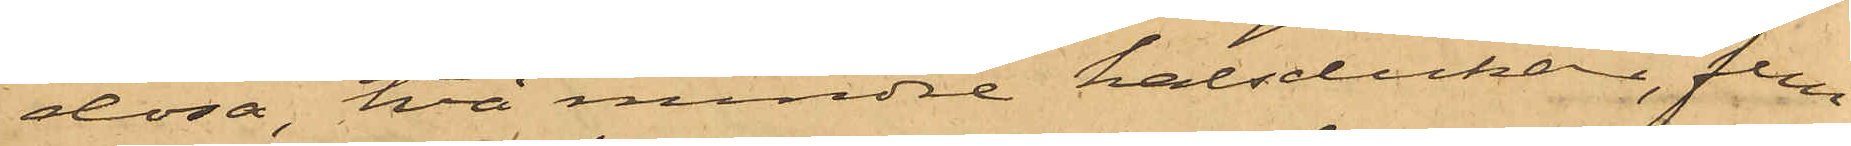dosa, två mindre halsdukar, fem
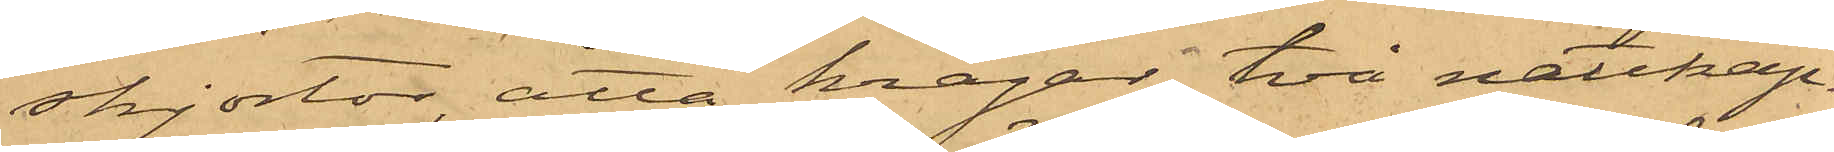skjortor, åtta kragar, två nattkap¬
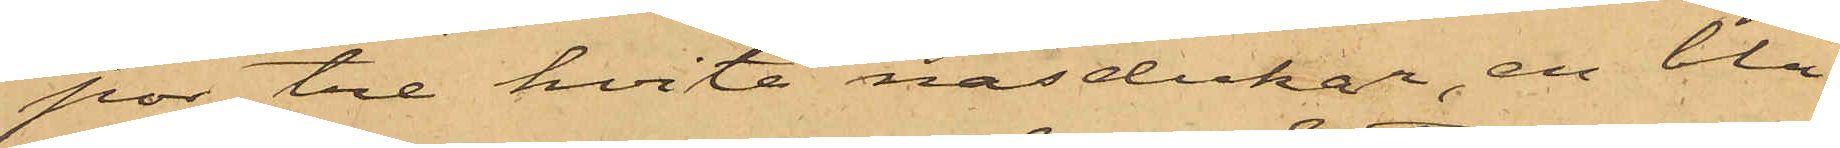por, tre hvita näsdukar, en blå
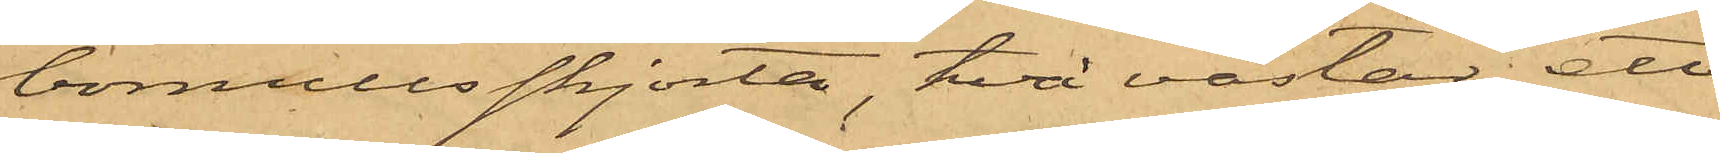bomullsskjorta, två västar, ett
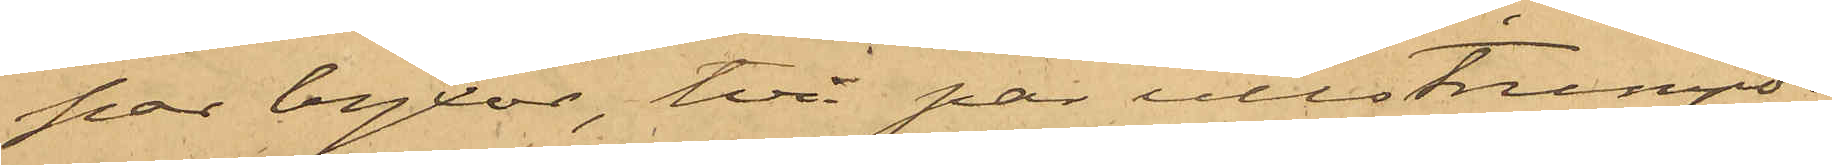par byxor, två par ullstrumpor,
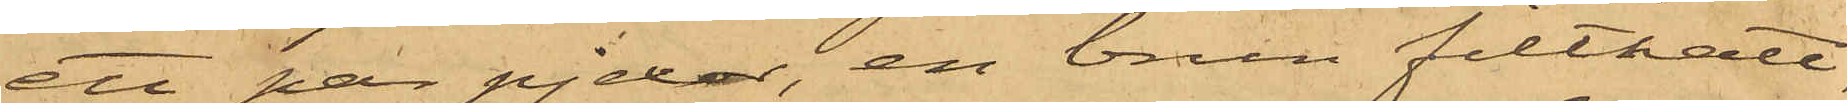ett par pjexor, en brun filthatt,
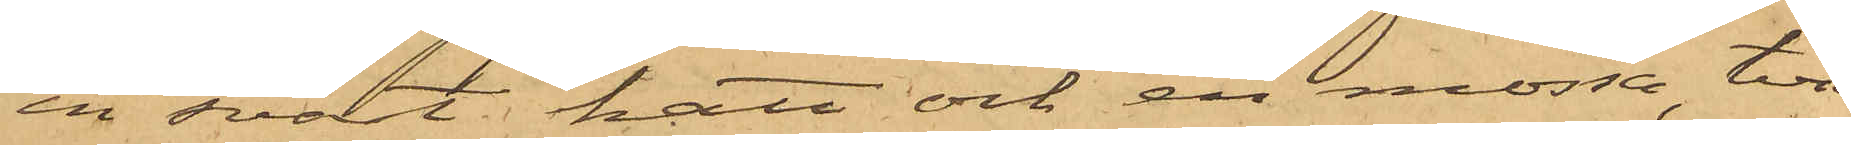en svart hatt och en mössa, två
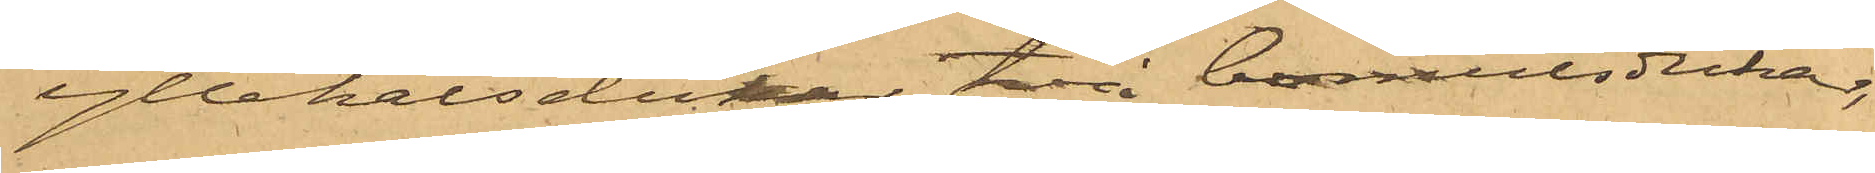yllehalsdukar, två bomullsdukar,
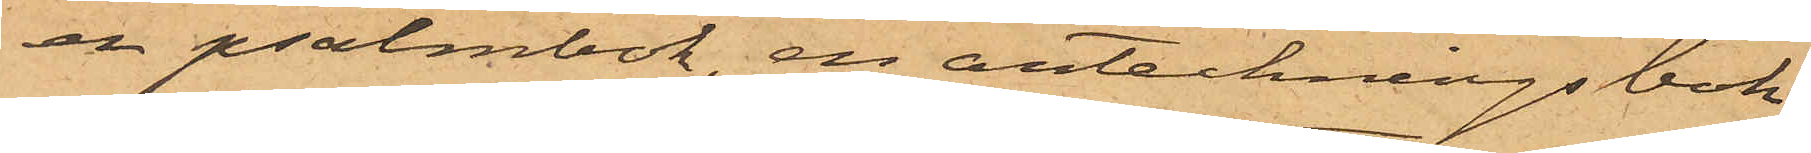en psalmbok, en anteckningsbok,
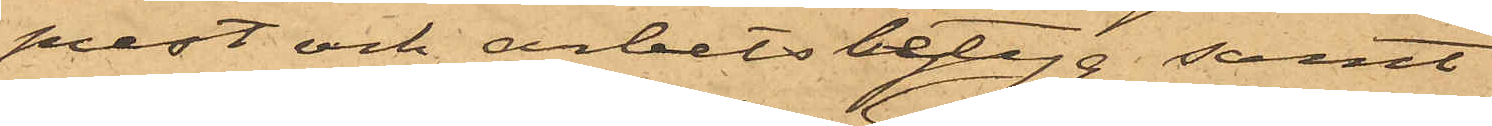prest och arbetsbetyg samt
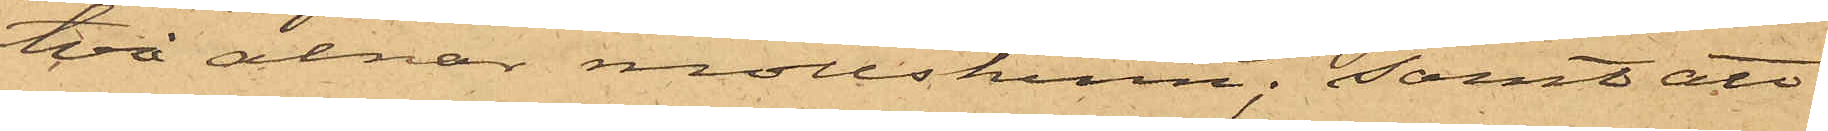två alnar mollskinn; samt att
